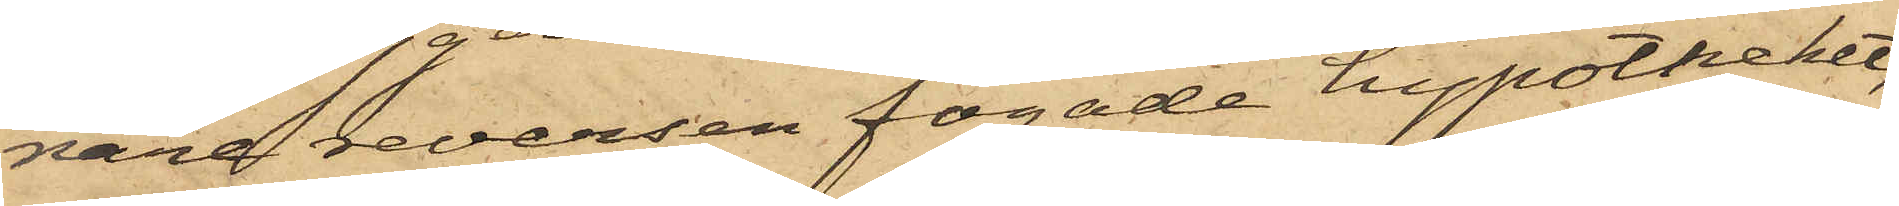nare reversen fogade hypotheket,
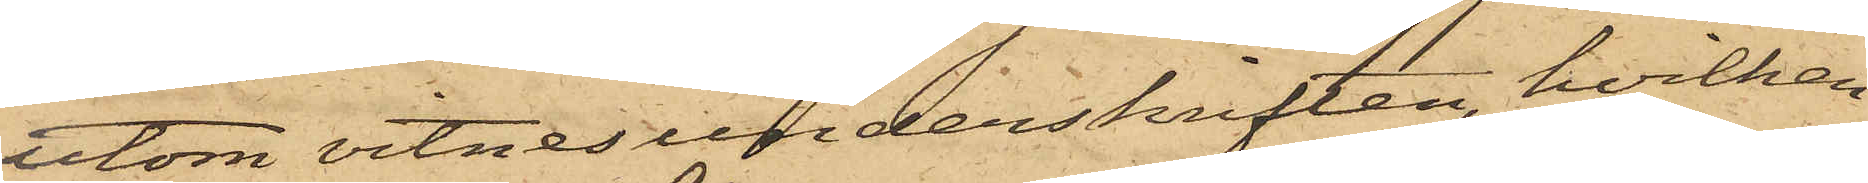utom vitnesunderskriften, hvilken
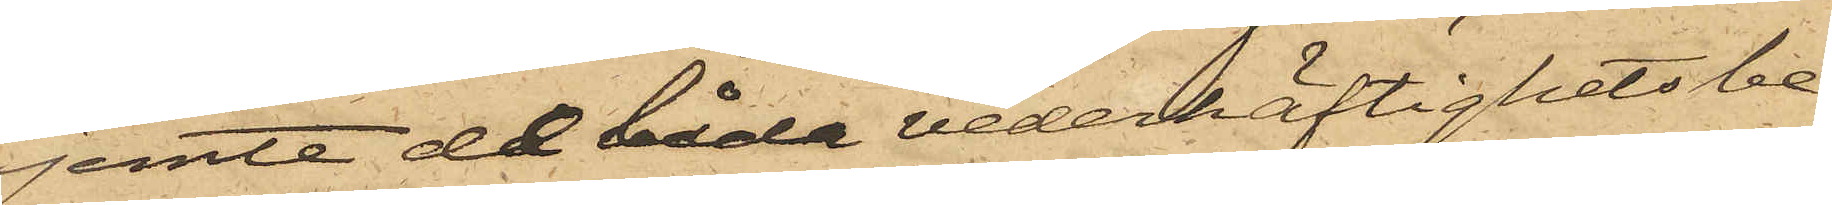jemte de båda vederhäftighets be¬
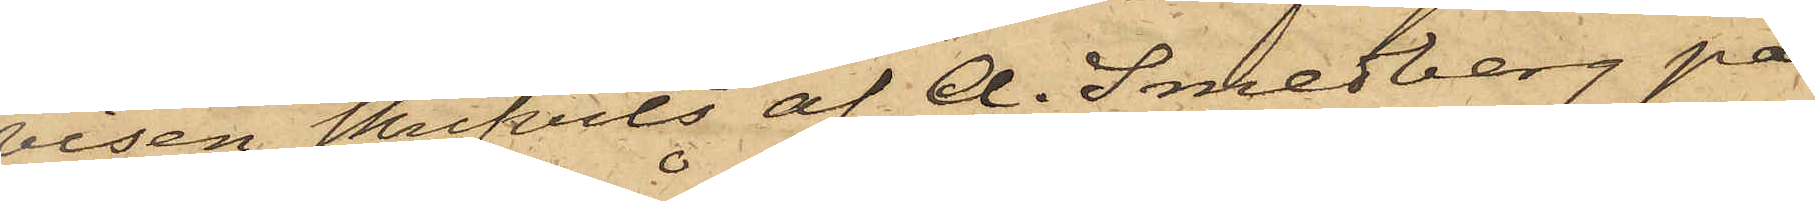visen skrifvits af A. Smedberg på
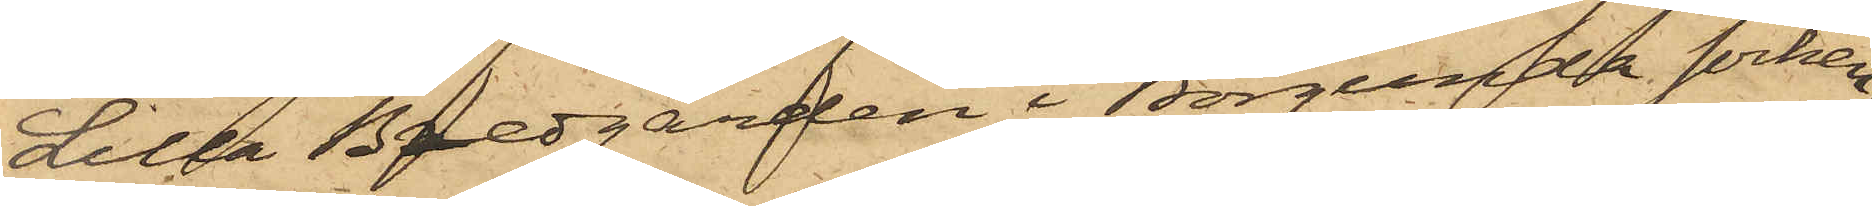Lilla Bredgården i Borgunda socken;
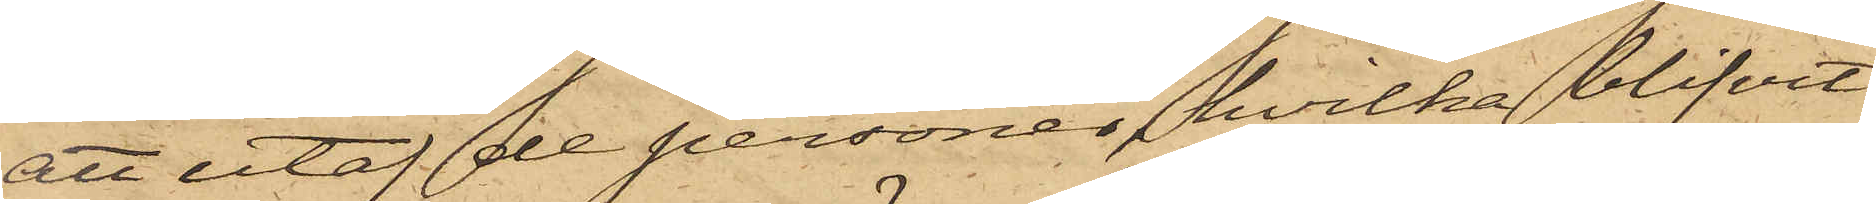att utaf de personer, hvilka blifvit
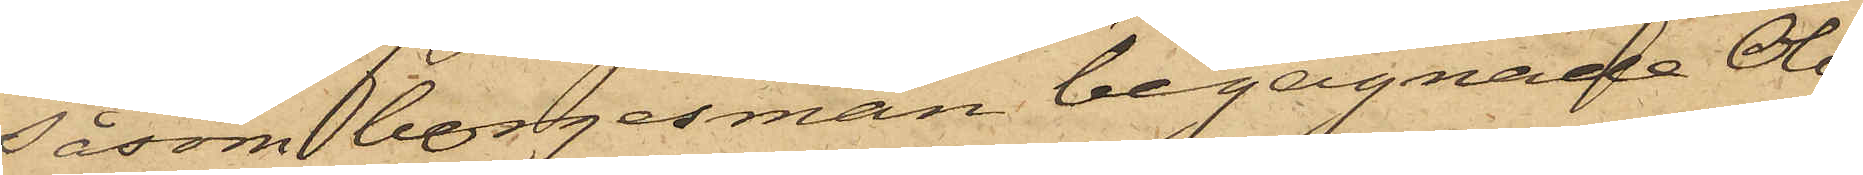såsom borgesmän begagnade Olof
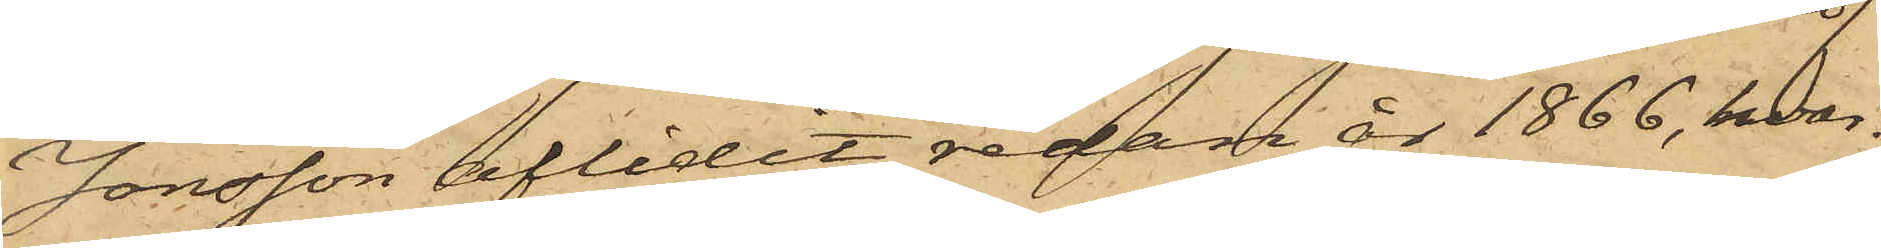Jonsson aflidit redan år 1866, hvar¬
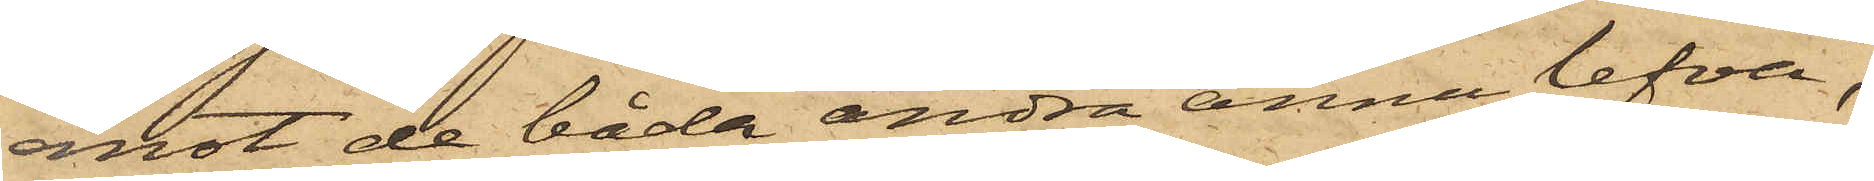emot de båda andra ännu lefva;
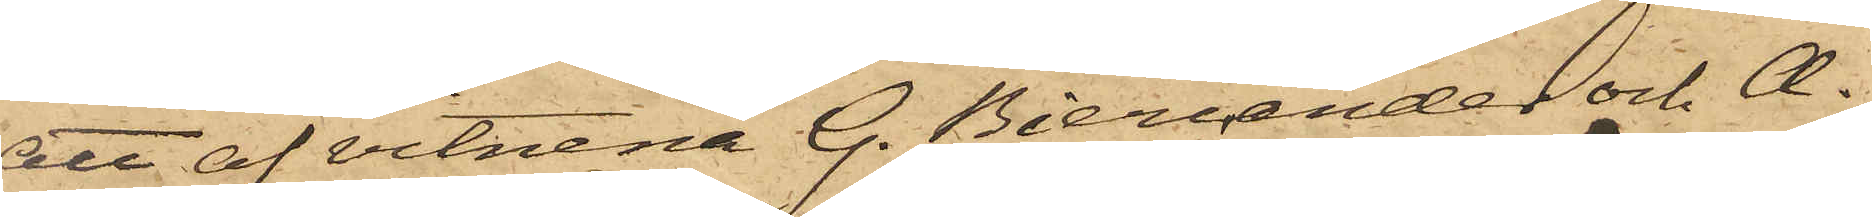att af vitnena G. Biercander och A.
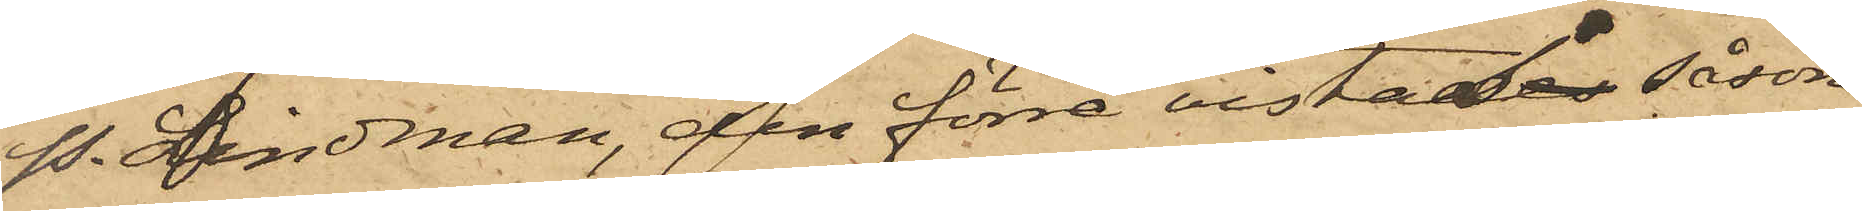P. Lindman, den förre vistases såsom
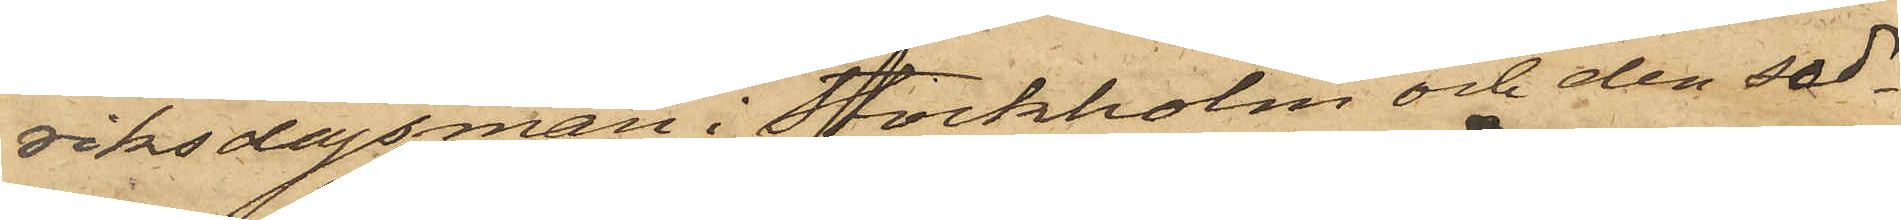riksdagsman i Stockholm och den sed¬
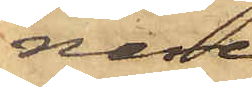nare
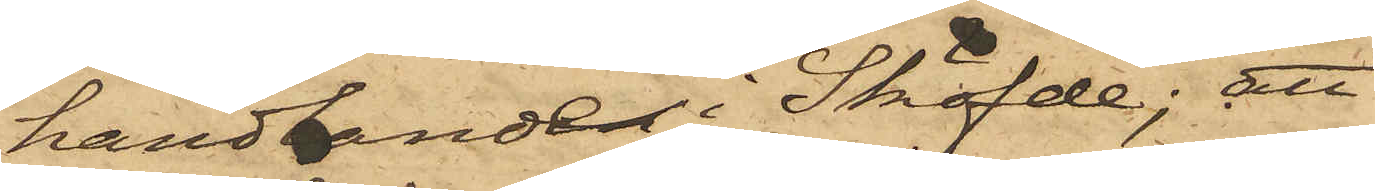handlande i Sköfde; att
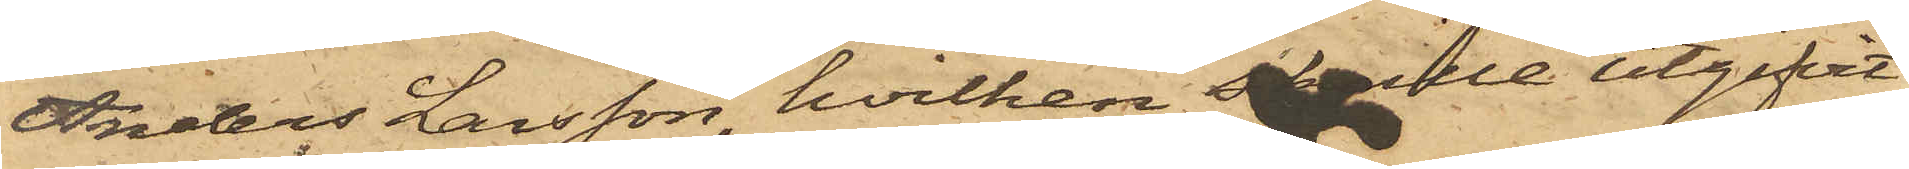Anders Larsson, hvilken skulle utgifvit
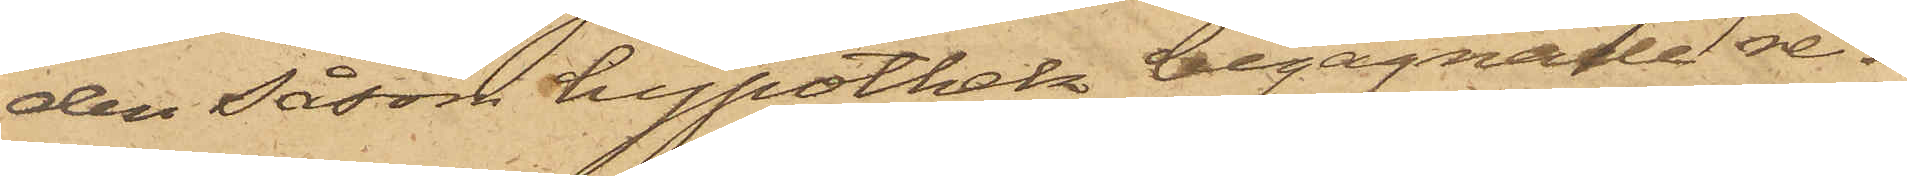den såsom hypothek begagnade re¬
